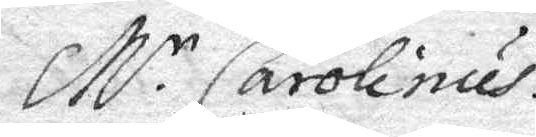M.r Carolinus.
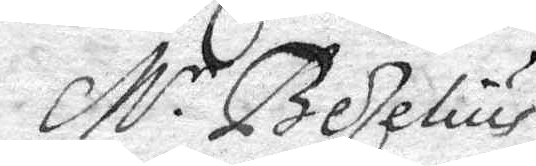M.r Bezelius.
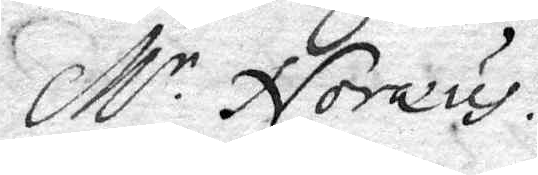M.r Noreus.
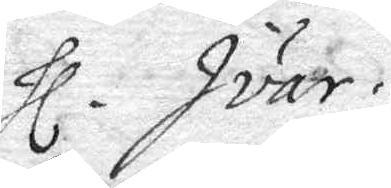Hl. Ivar.
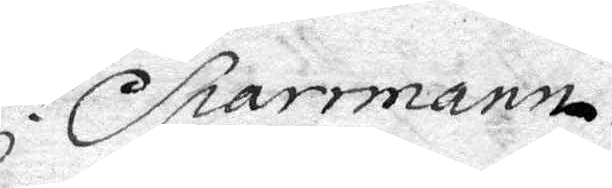H. Sparrmann
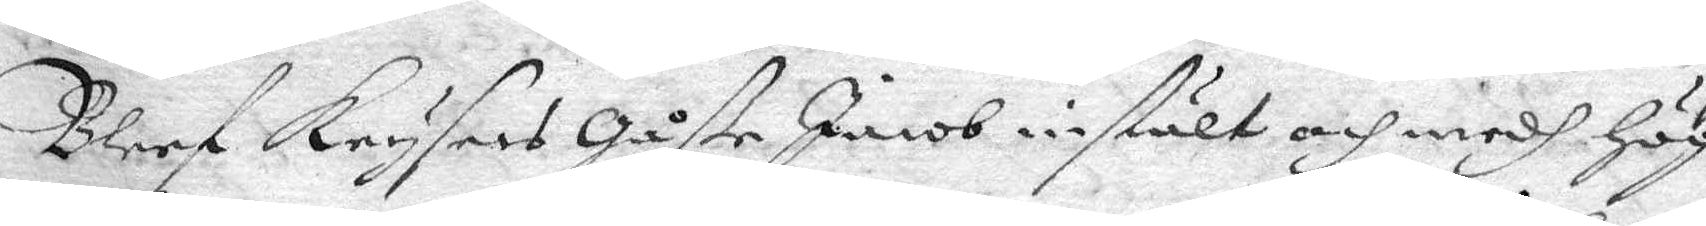Bleef Krysers Gåße Jacob instält och medh Hög
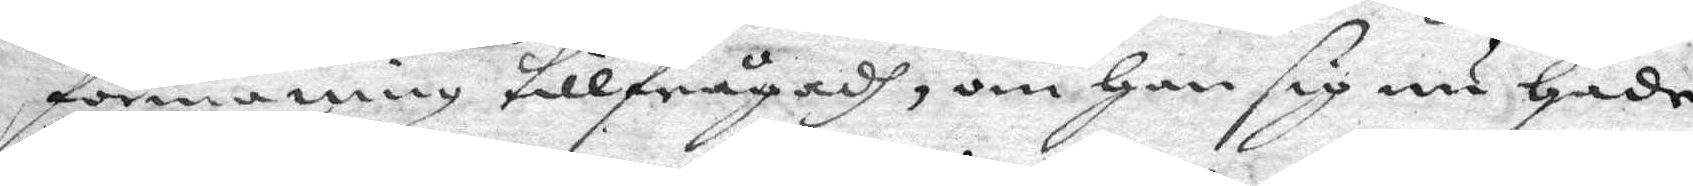förmaning tillfrågadh, om Han sig nu Hade
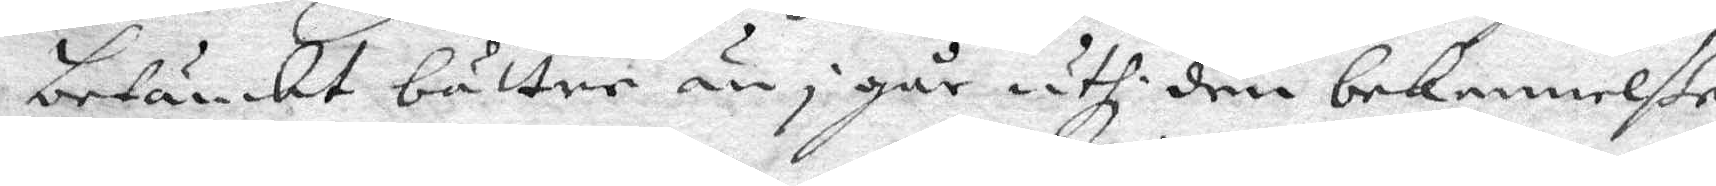betänkt bättre än i går uthi den nekennelße
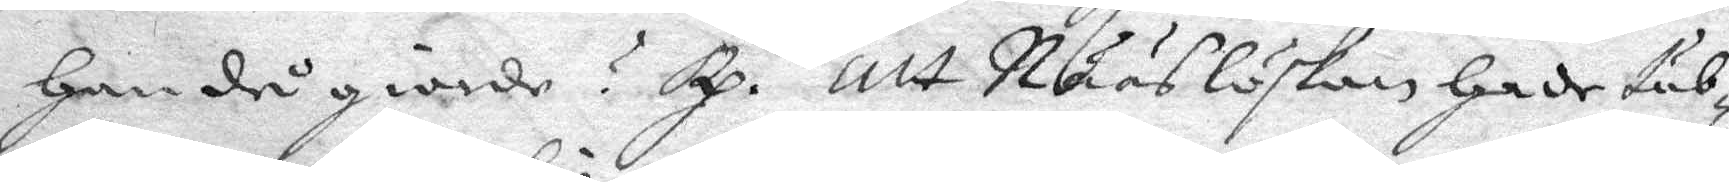Han då giorde? Rp. Att Nääslöskan Hade tub¬
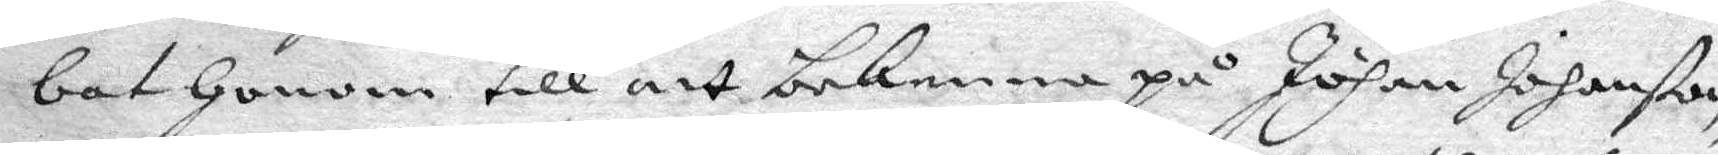bat Honom till att bekenna på Johan Johanßon,
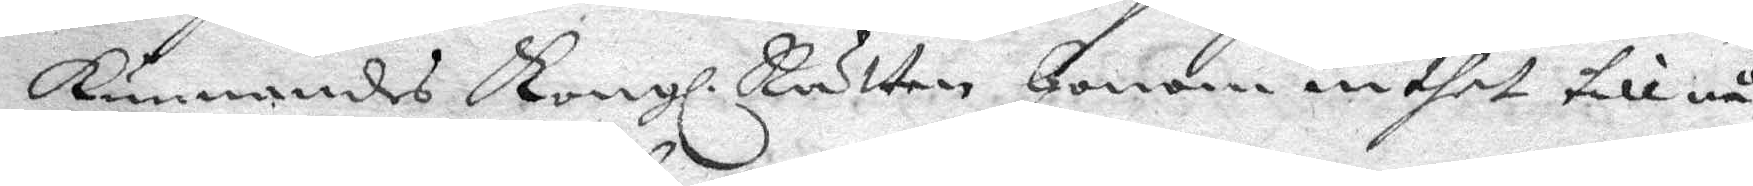kunnandes Kongl. Rätten Honom inthet till nå¬
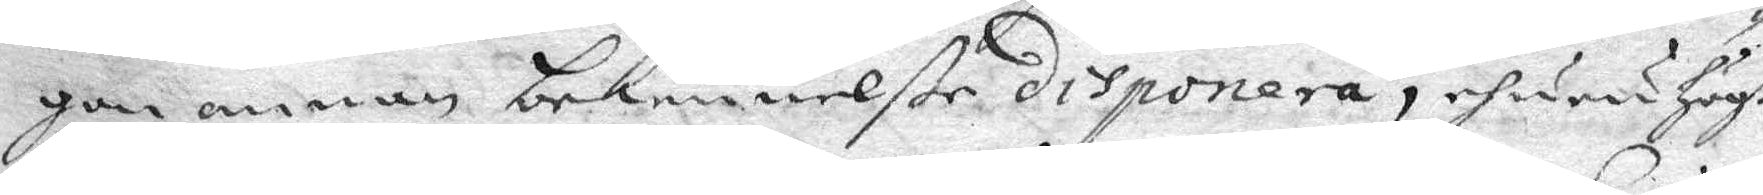gon annan bekennelße disponera, ehuru Högt
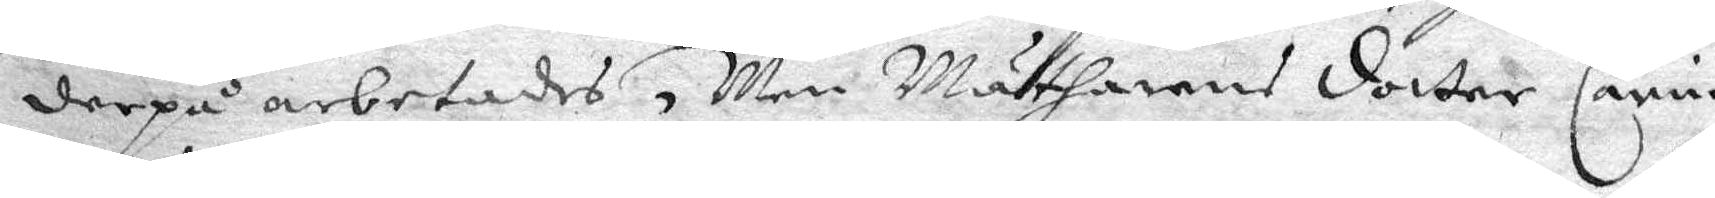derpå arbetades, Men Matharens dotter Carin
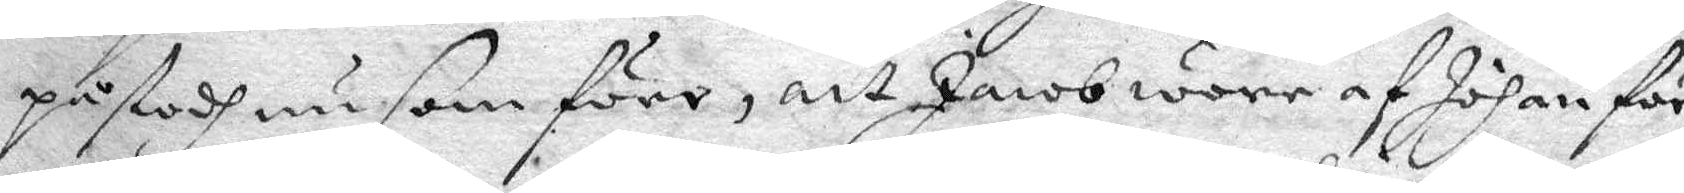påstodh nu som före, att Jacob woew af Johan för¬
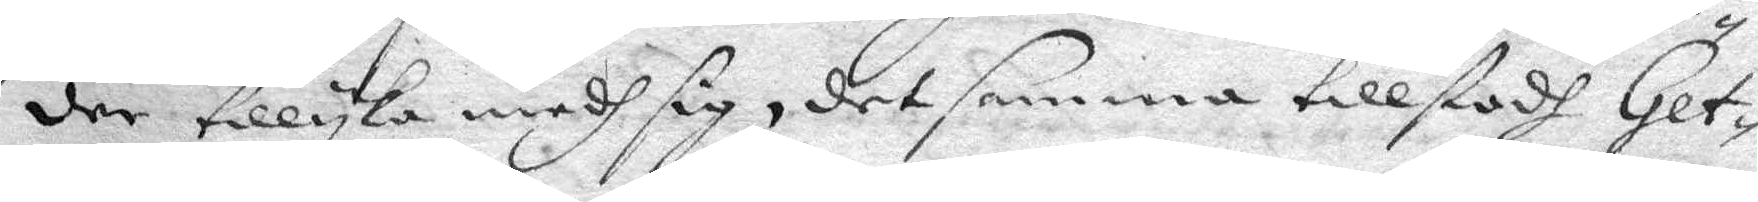der tillyka medh sig, det samma tillstodh Get¬
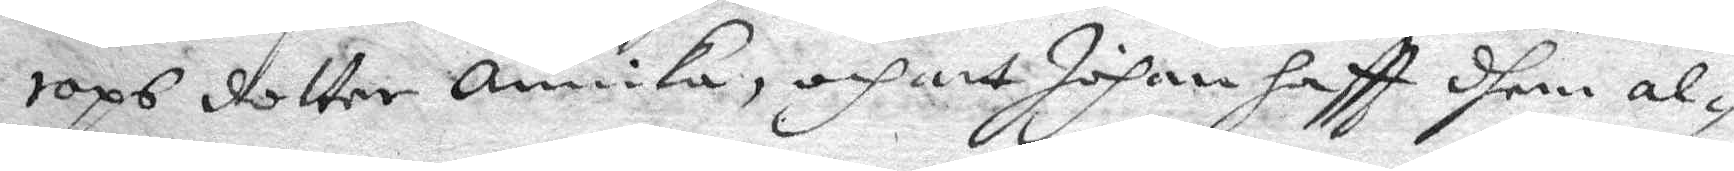rops dotter Annika och att Johan haftt dhem at¬
